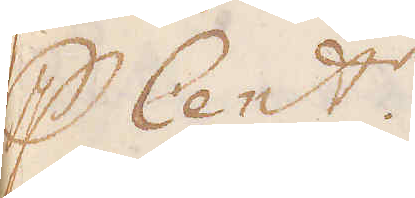p Cent:r.
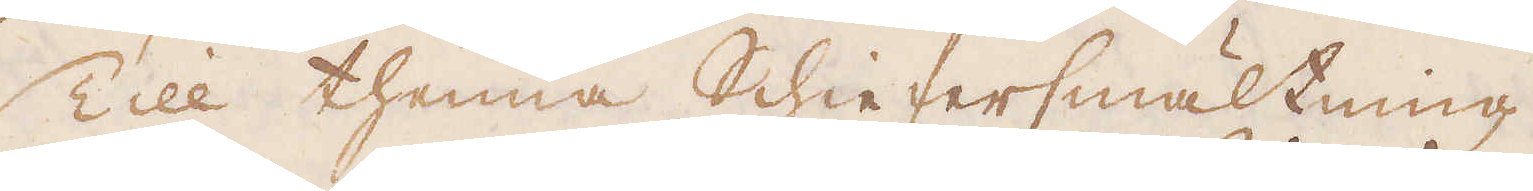Till thenna Schiefersmältning
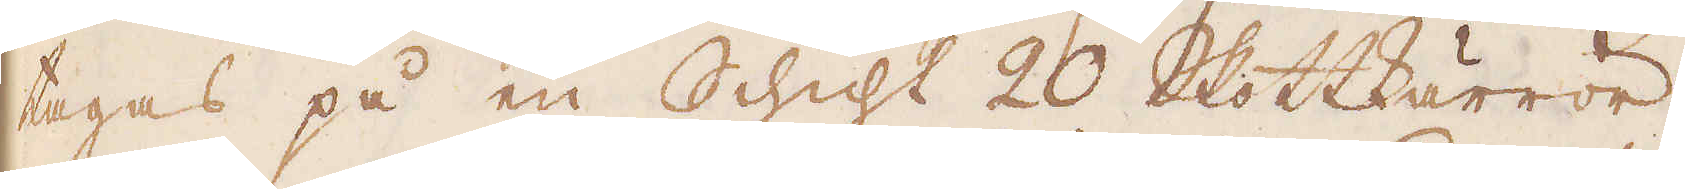tages på en Schicht 20 Skottkärror
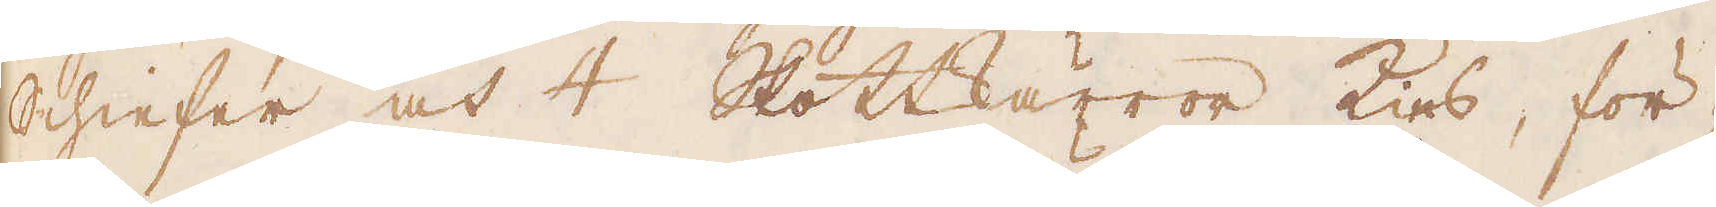Schiefer och 4 Skottkärror Kies, för-
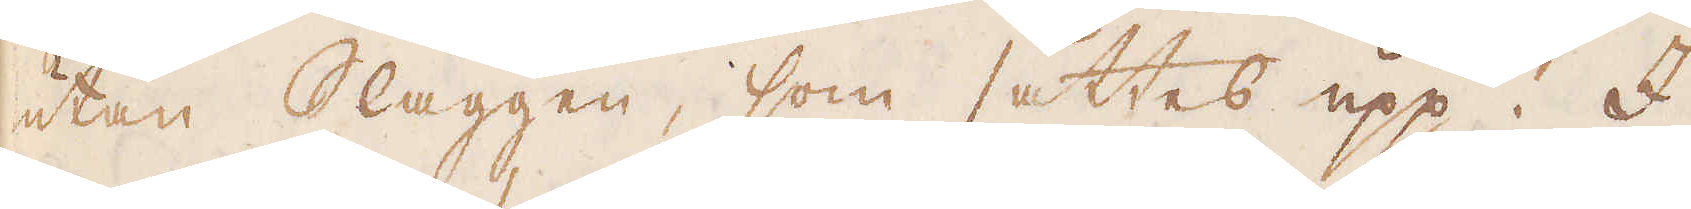utan Slaggen, som sättes upp. I
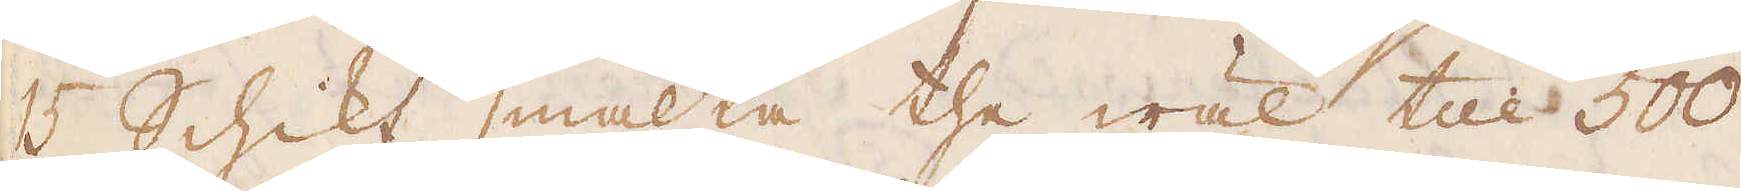15 Schikt smälta the wäl till 500
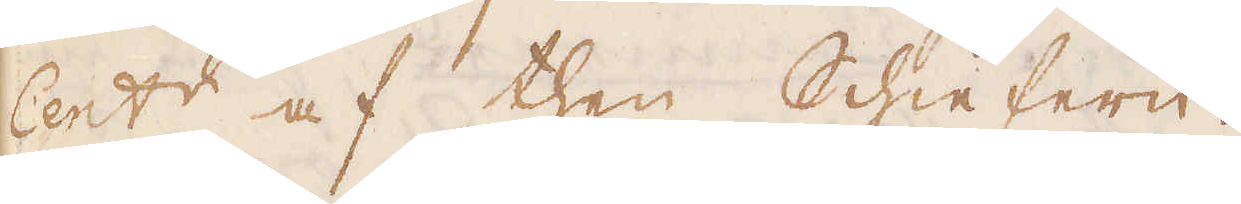Cent:r af then Schiefern.
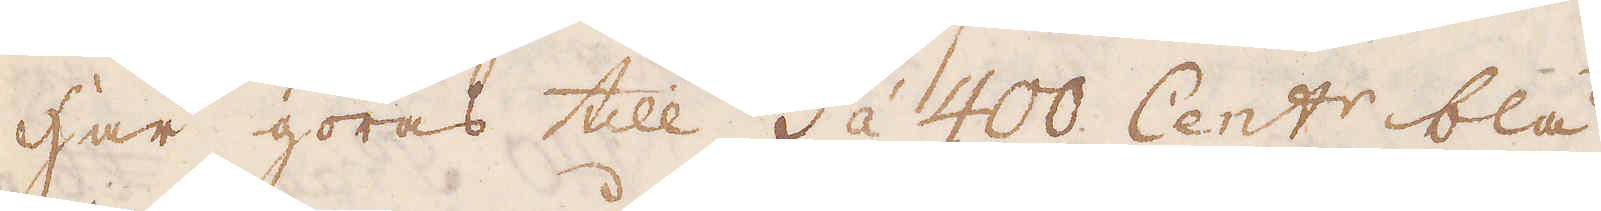Här göras till 3 à 400 Cent:r blå
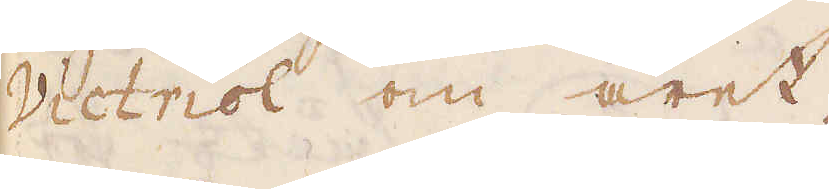Victriol om året.
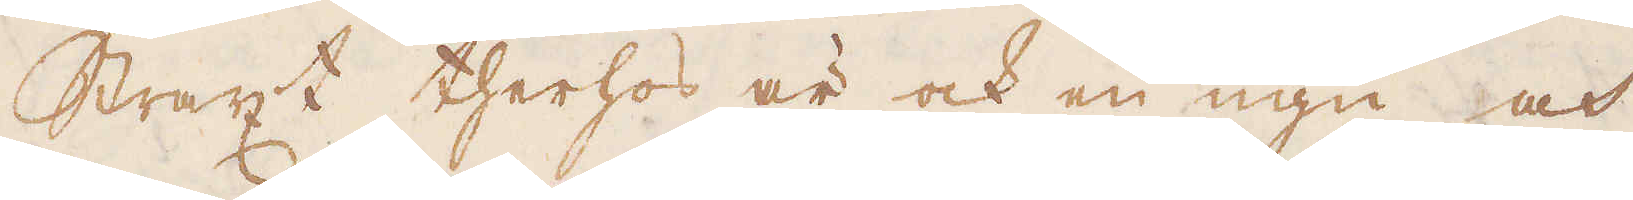Straxt therhos är ock en ugn och
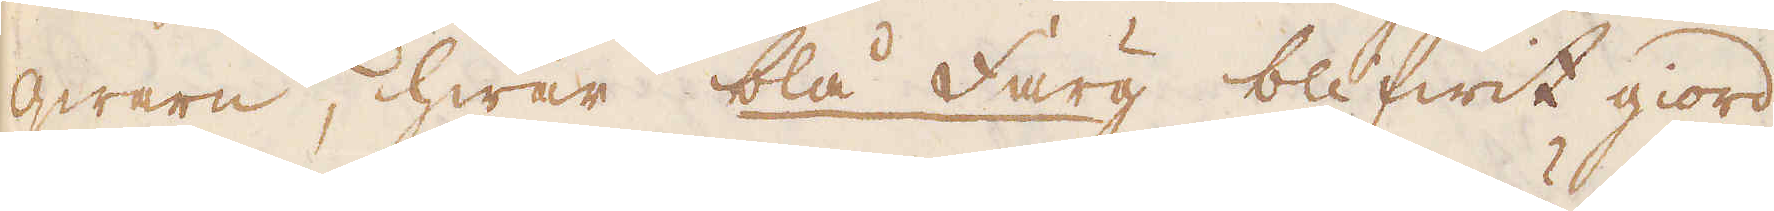qwarn, hwar blå Färg blifwit giord
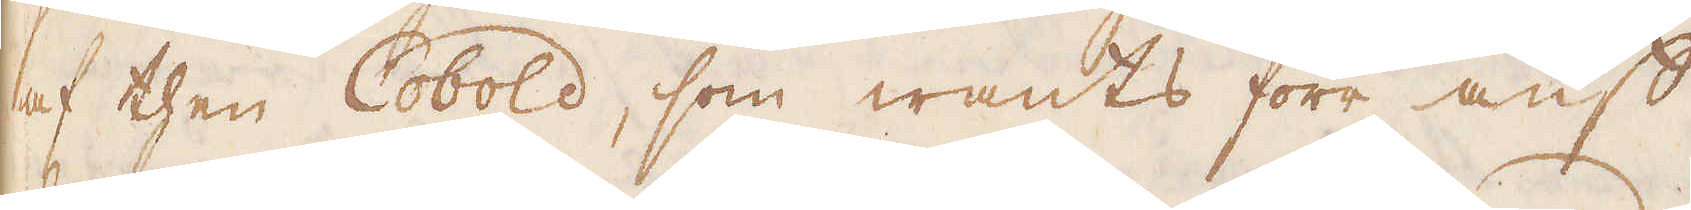af then Cobold, som wants förr auf
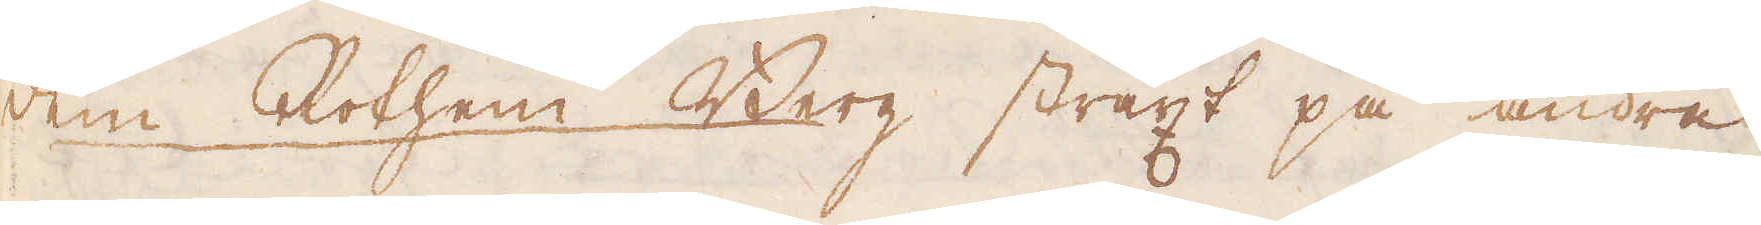dem Rothen Berg straxt på andre
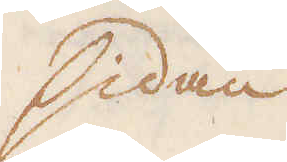sidan
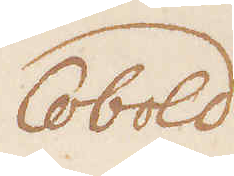Cobold
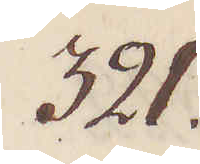321.
